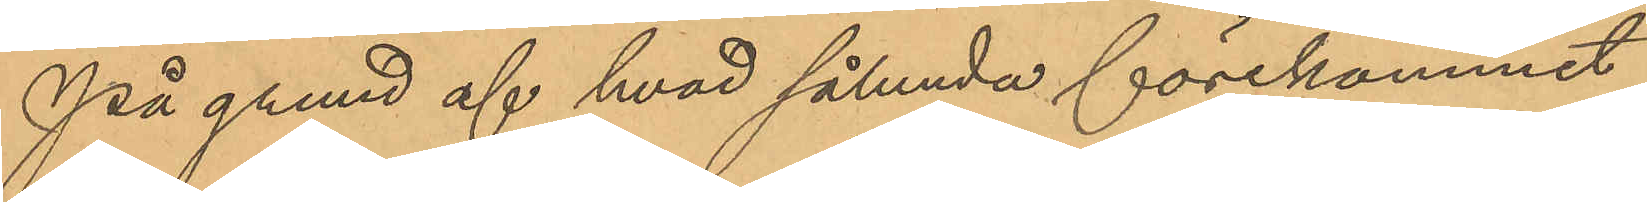På grund af hvad sålunda förekommit
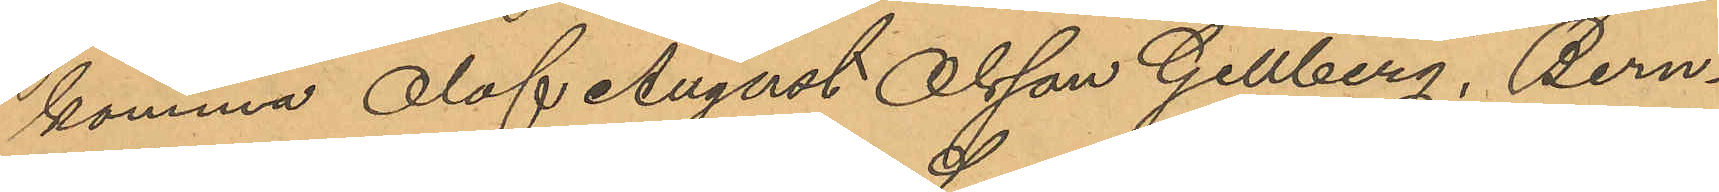komma Olof August Olsson Gillberg, Bern¬
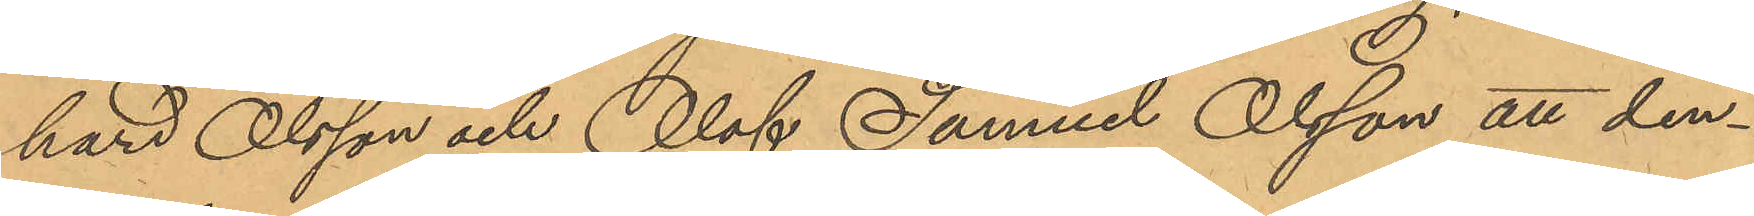hard Olsson och Olof Samuel Olsson att den¬
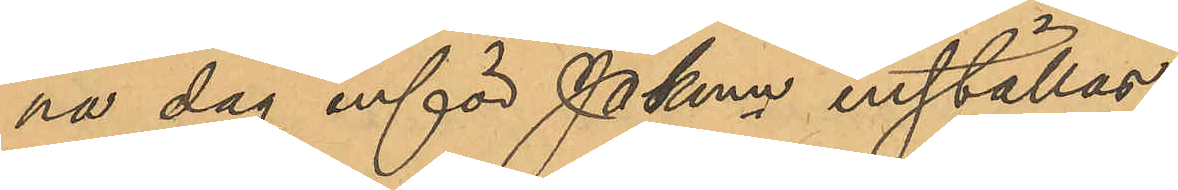na dag inför PKmn inställas.
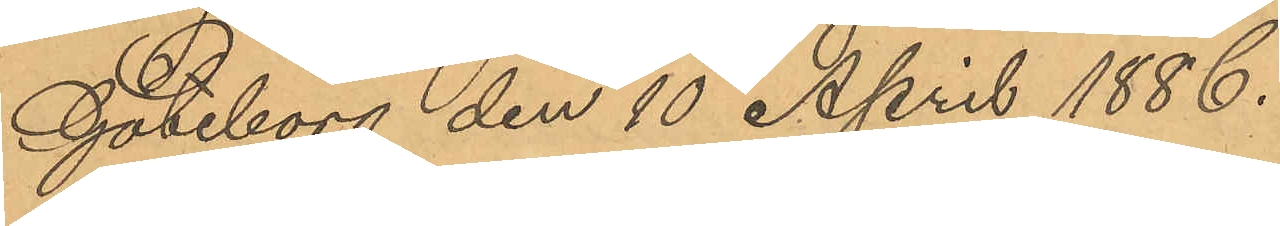Göteborg den 10 April 1886.
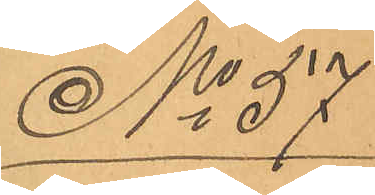No 57
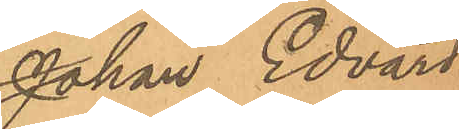Johan Edvard
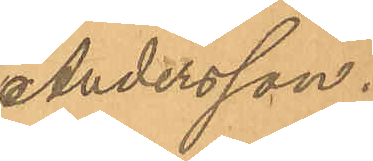Andersson.
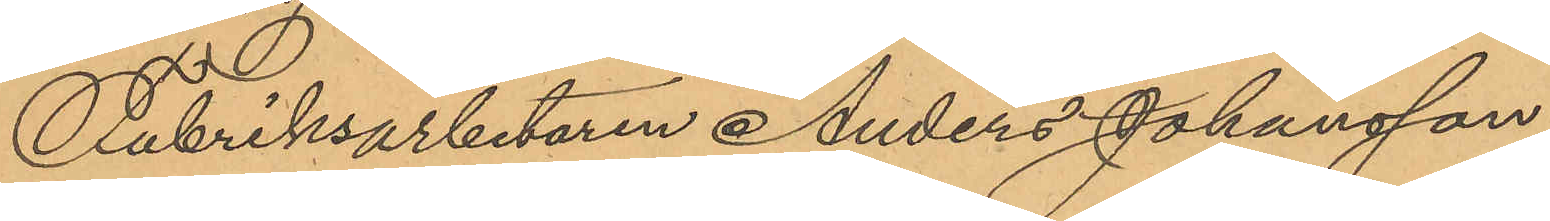Fabriksarbetaren Anders Johansson,
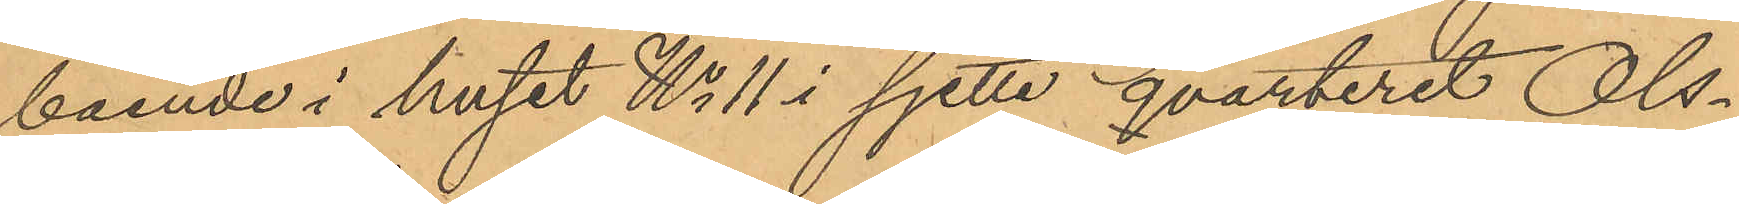boende i huset No 11 i sjette qvarteret Ols¬
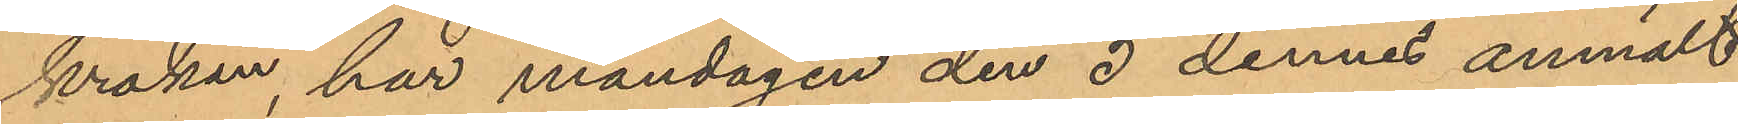kroken, har måndagen den 5 dennes anmält
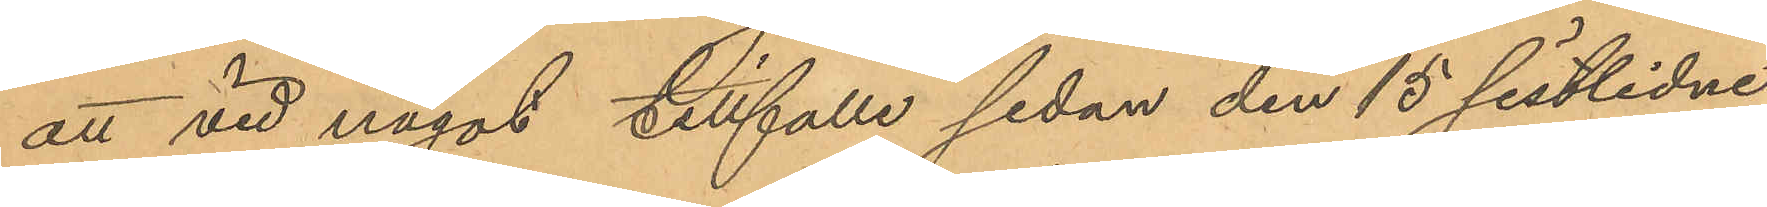att vid något tillfälle sedan den 15 sistlidne
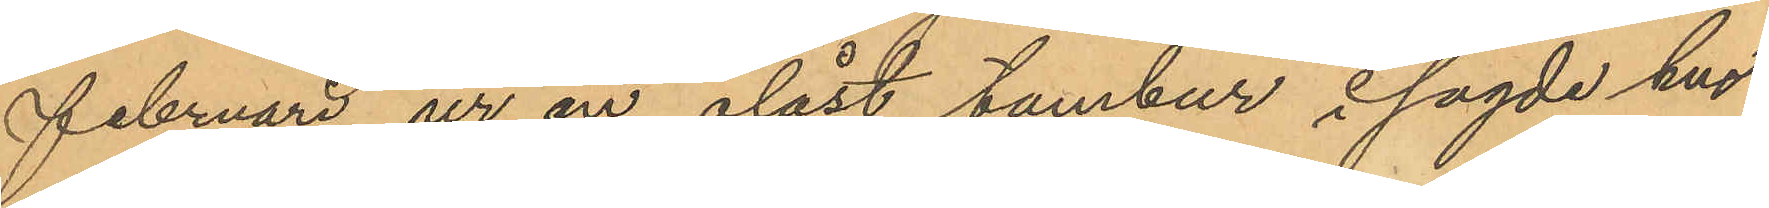Februari ur en olåst tambur i sagde hus
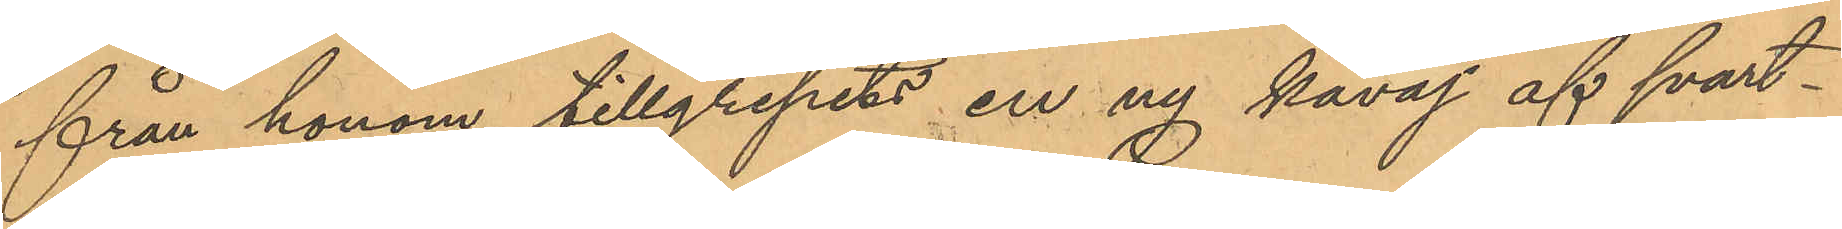från honom tillgripits en ny kavaj af svart¬
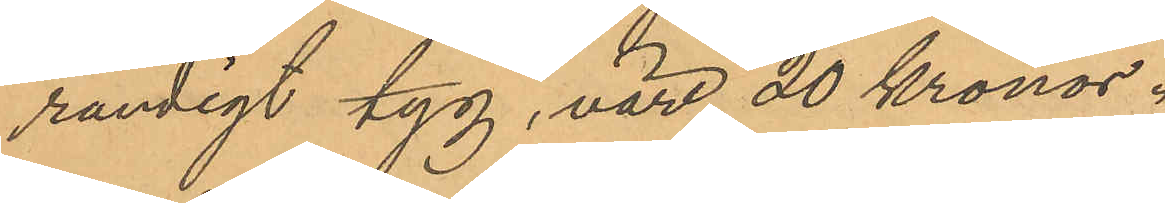randigt tyg, värd 20 Kronor.
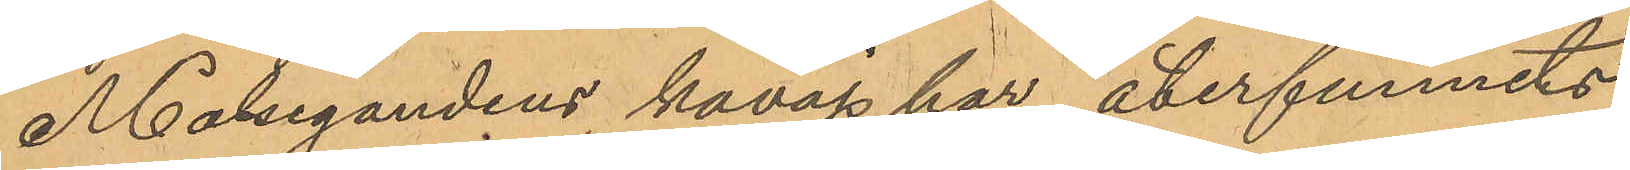Målsegandens kavaj har återfunnits
